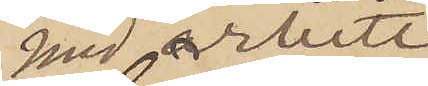med arbete i
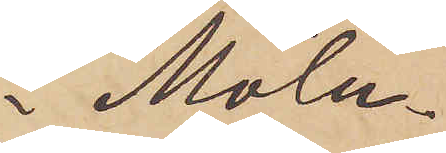Möln¬
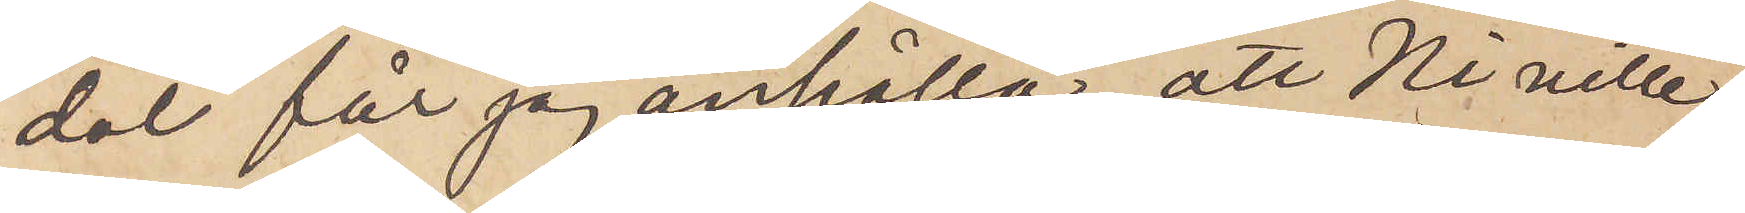dal får jag anhålla, att Ni ville
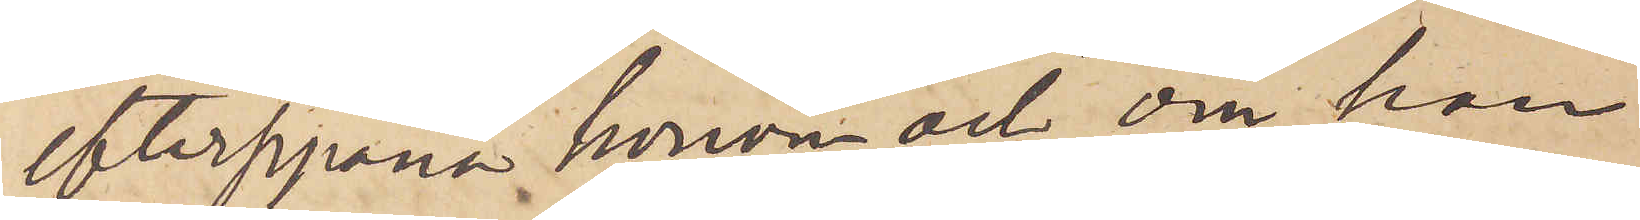efterspana honom och, om han
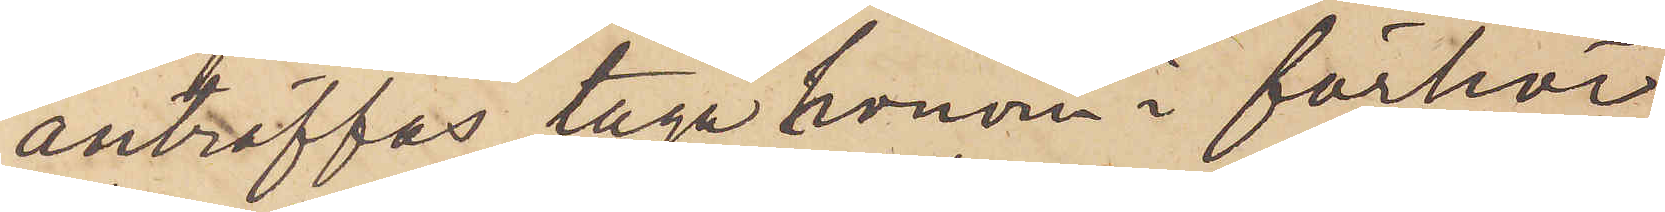anträffas, taga honom i förhör
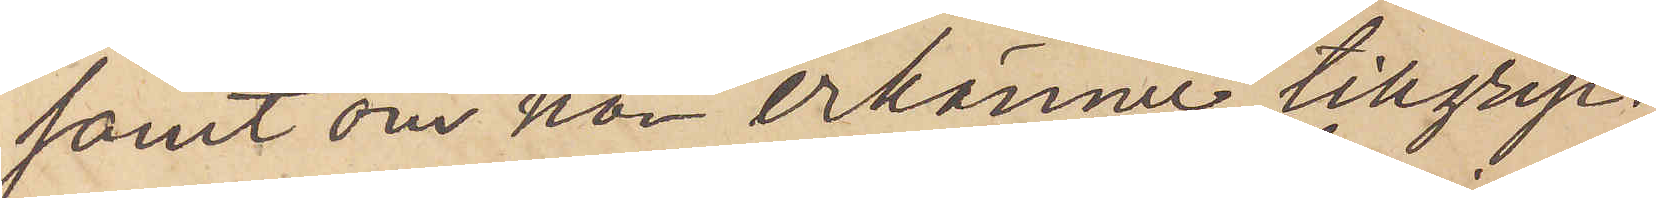samt om han erkänner tillgrep¬
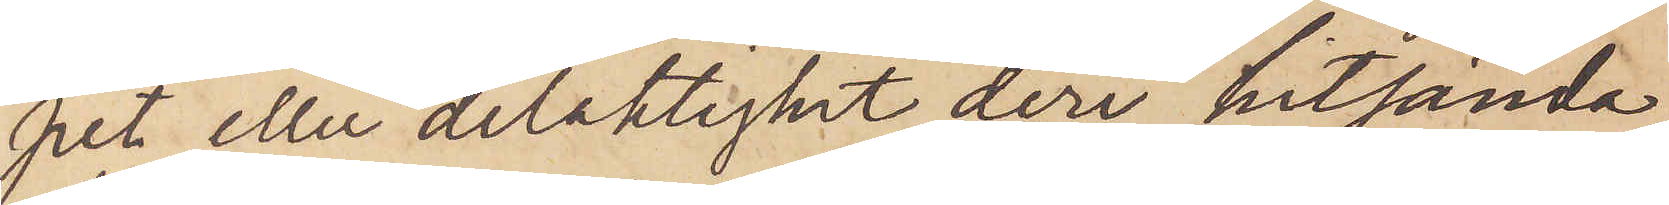pet eller delaktighet deri hitsända
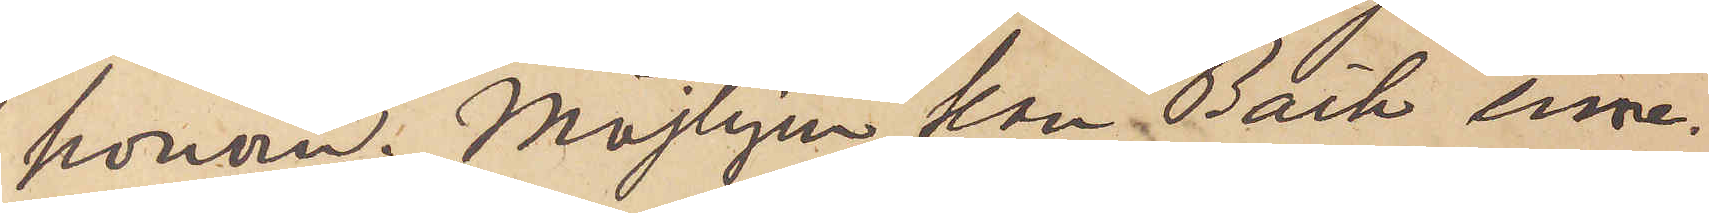honom.  Möjligen kan Bäck inne¬
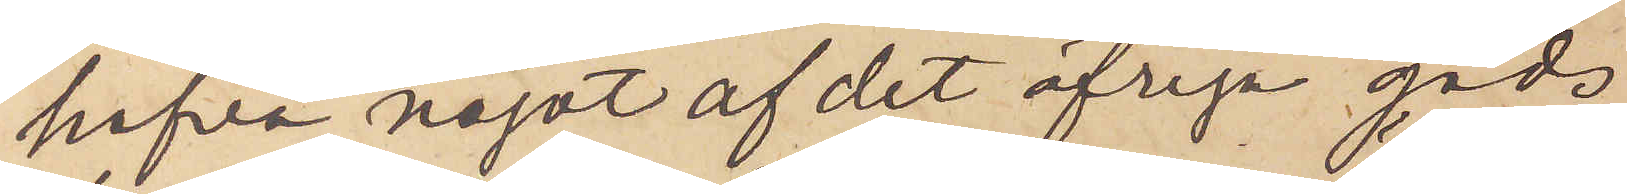hafva något af det öfriga gods
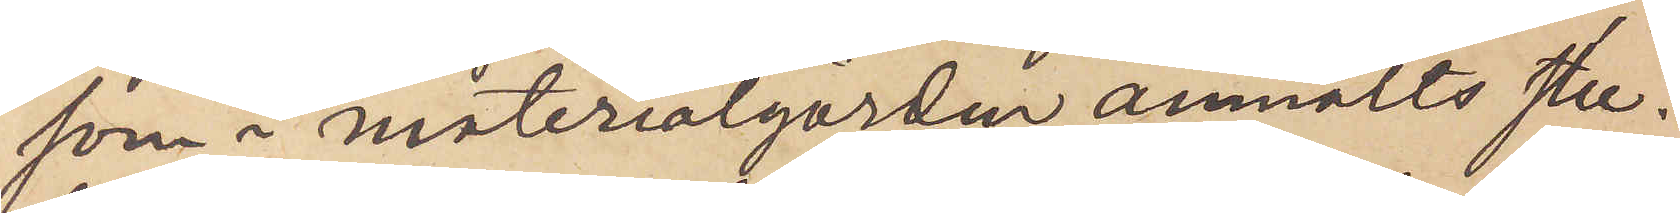som i materialgården anmälts stu¬
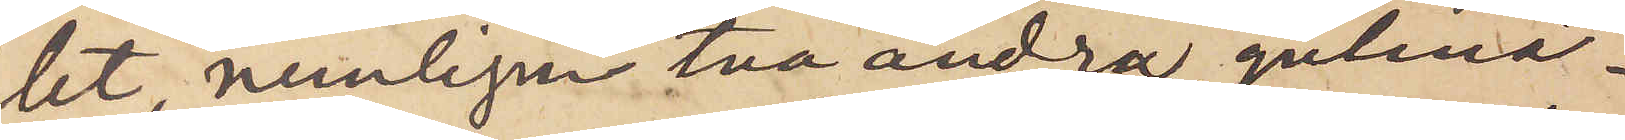let, nemligen två andra gulmå¬
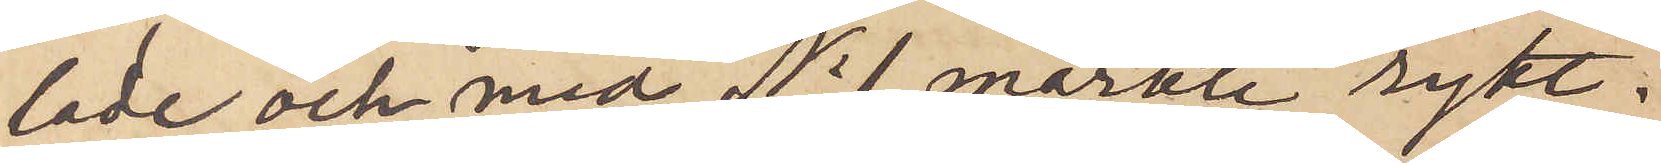lade och med No 1 märkte rykt¬
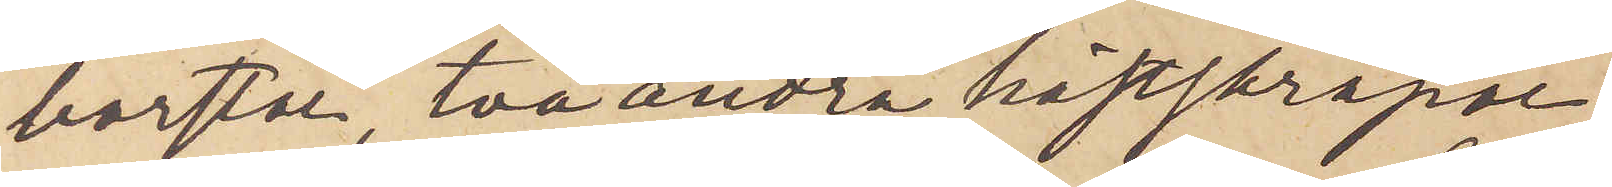borstar, två andra hästskrapor,
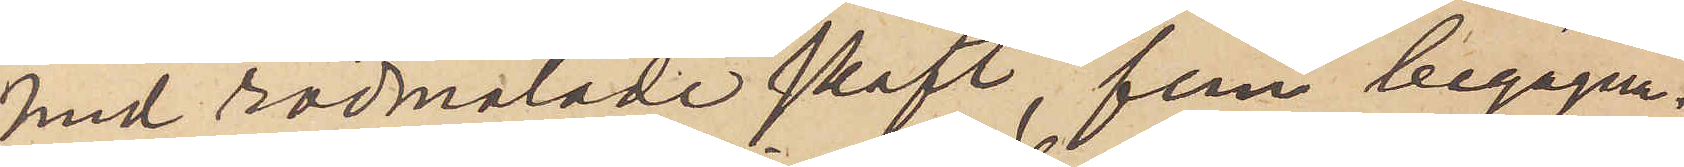med rödmålade skaft, fem begagna¬
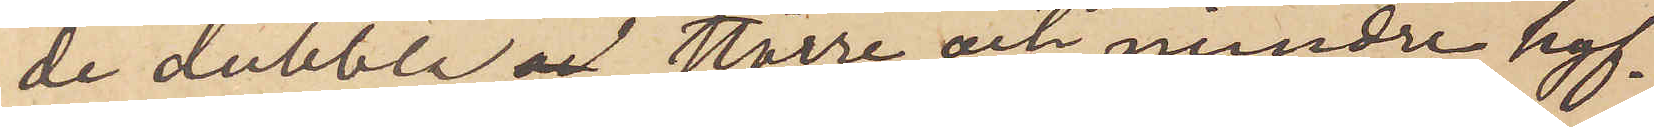de dubbla,  större och mindre hyf¬
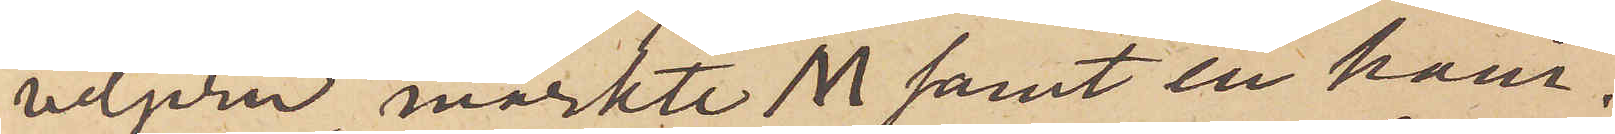veljern, märkte M samt en ham¬
